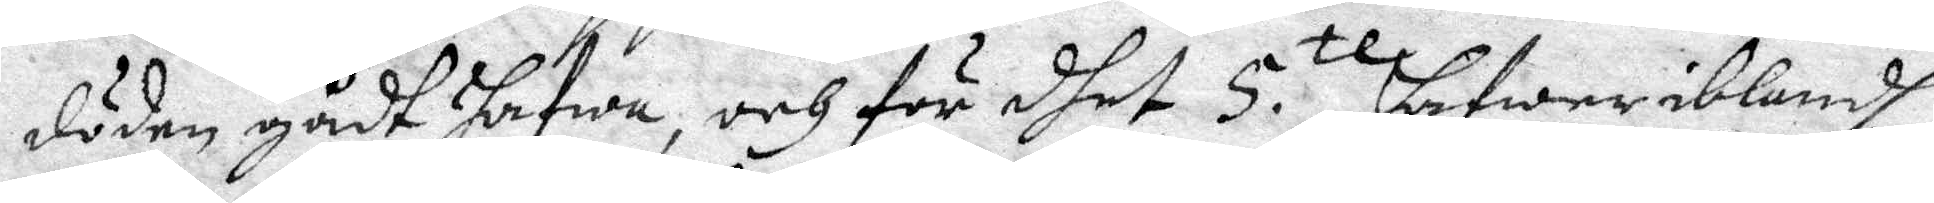döden gådt hafwa, och för dhet 5.te hafwer iblandh
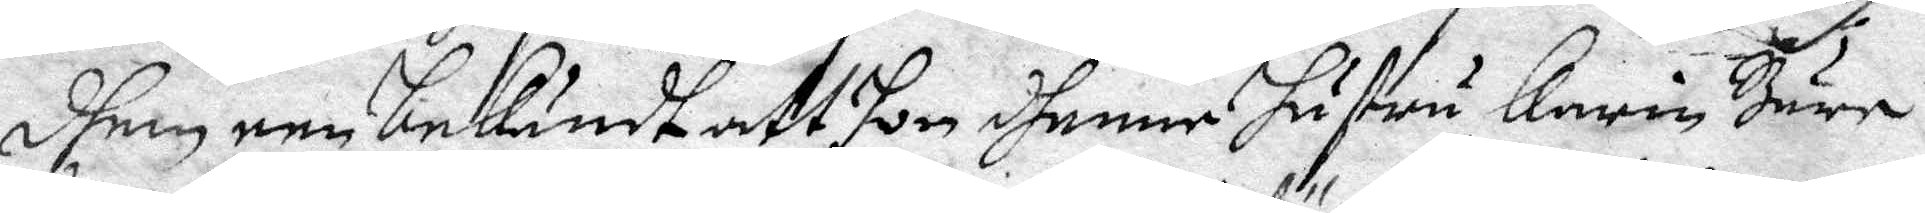dhen ene bekändt att som dhenne hustru Karin Bure
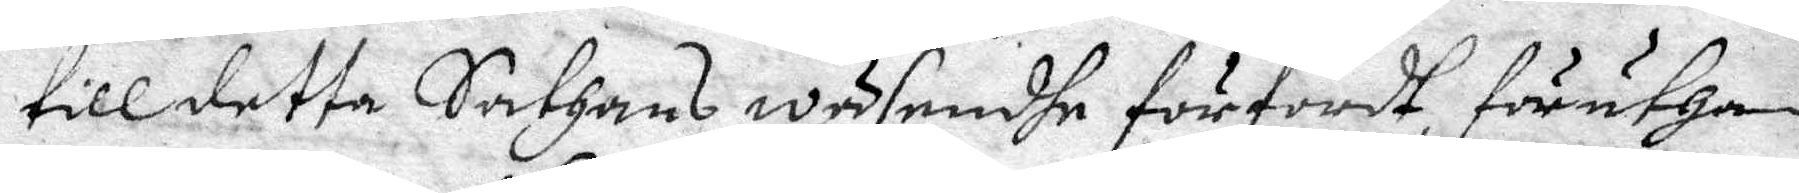till detta Sathans wäsendhe förhördt föruthan
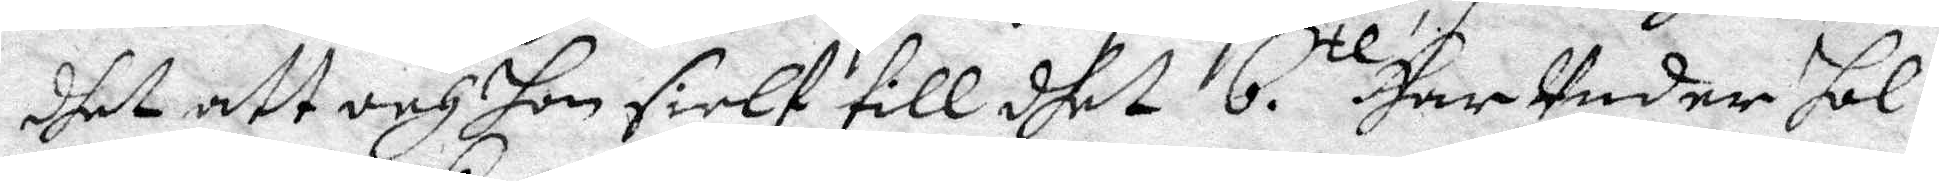dhet att och hon sielf till dhet 6.te Har Under hol¬
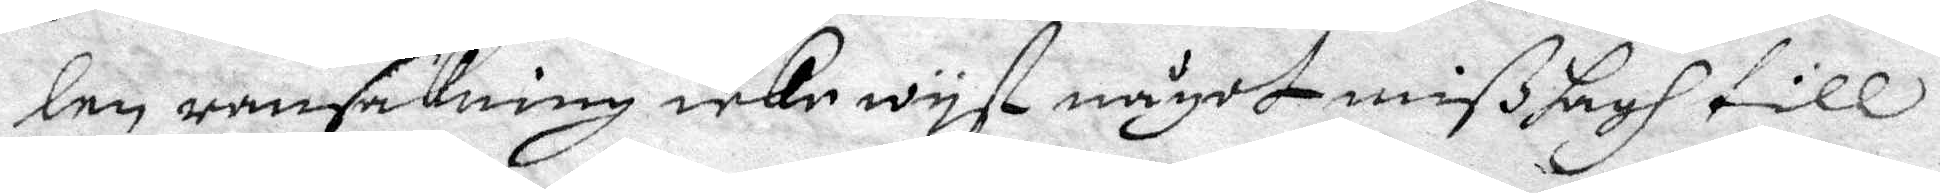len ransakning icke wyst något mißhagh till
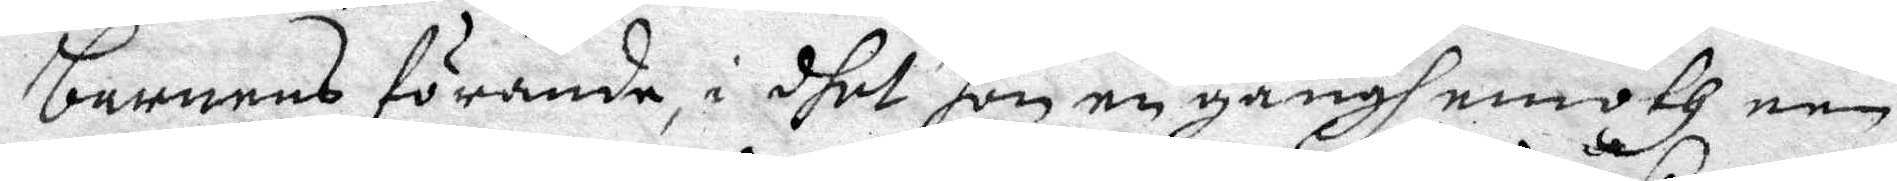barnens förande i dhet hon en gångh emoth een
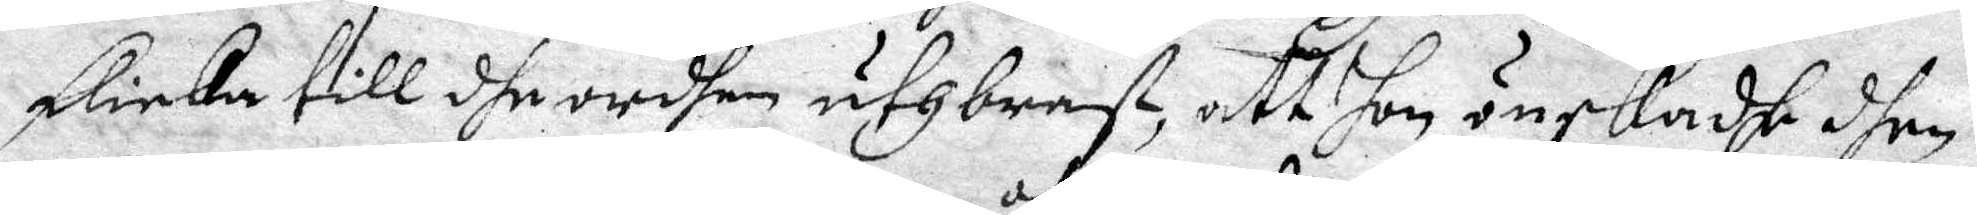flicka till dhe ordhen uthbrast, att hon önskadhe dhen
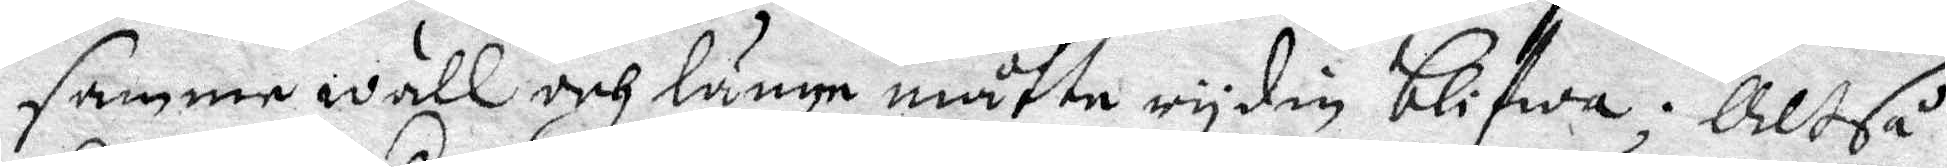samme wäll och länge måtte rydin blifwa; Altså
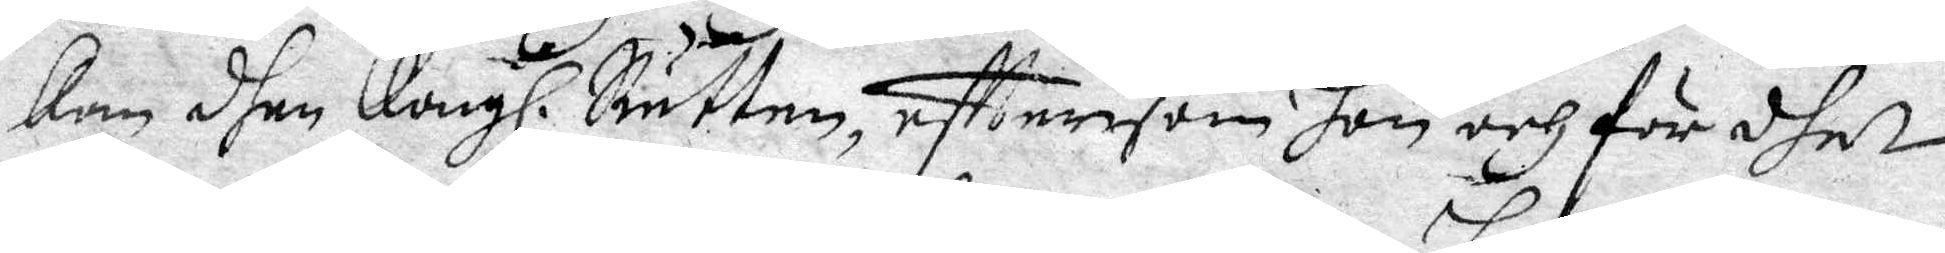kan dhen Kongl. Rätten, efttersom hon och för dhen
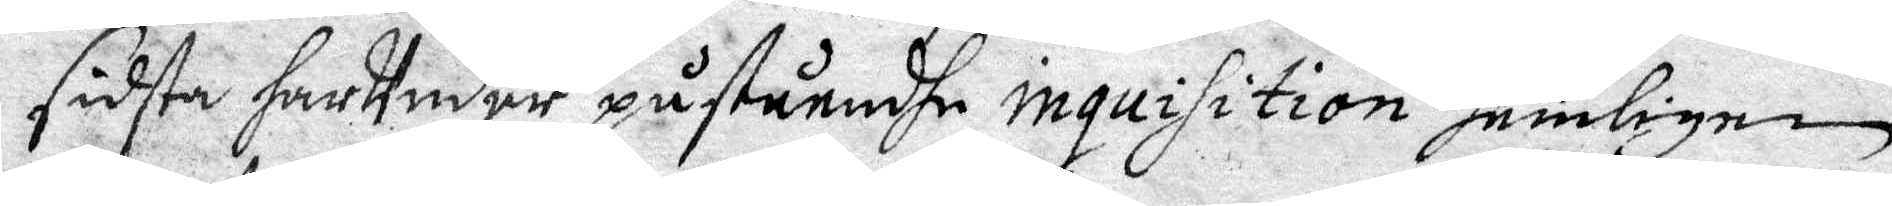sidsta har Under påståendhe inquisition hemlige
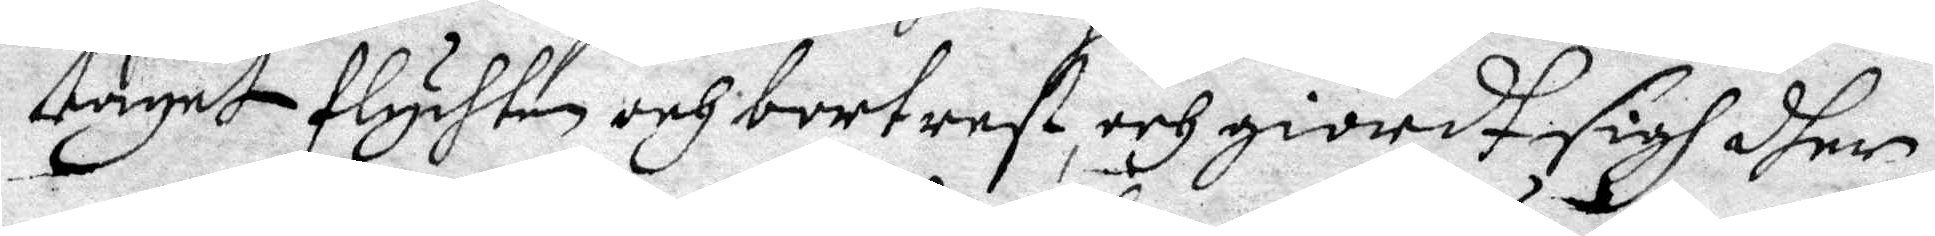taget flychten och bort rest, och giordt sigh dher
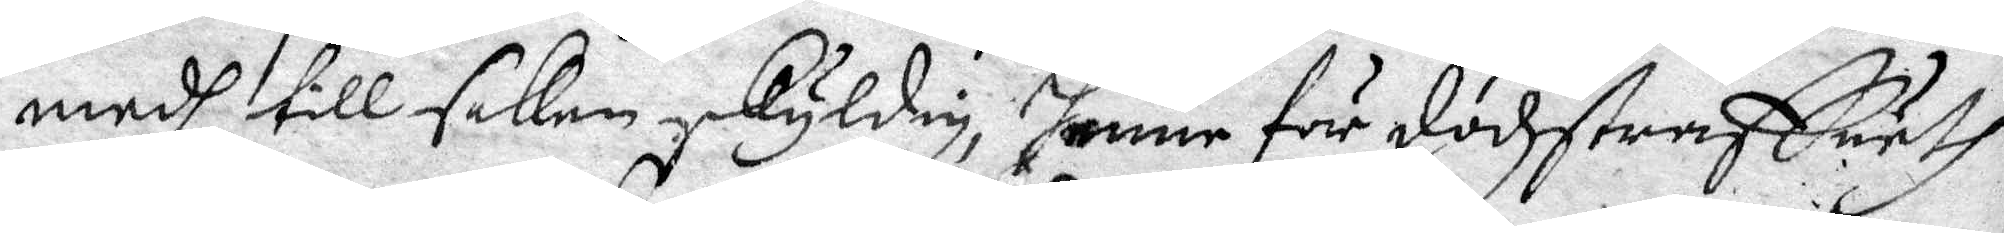medh till saken skyldig, henne för dödzstraffuetz
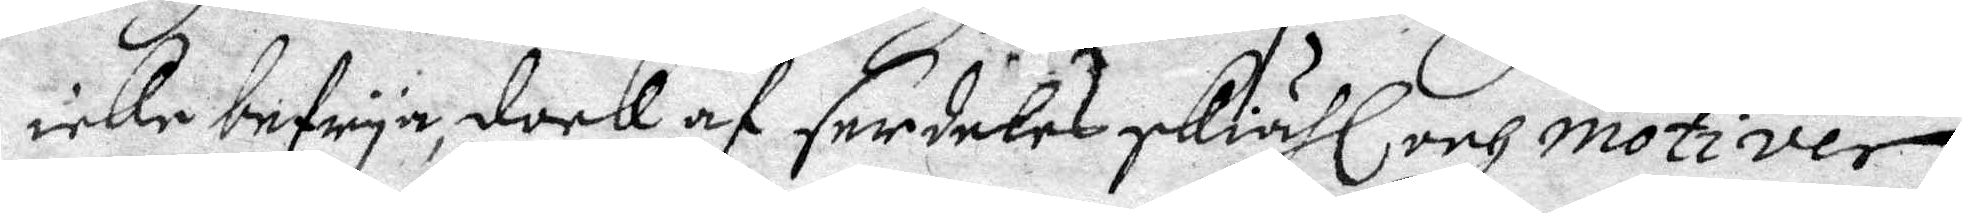icke befrya, dock af serdeles skiähl och motiver
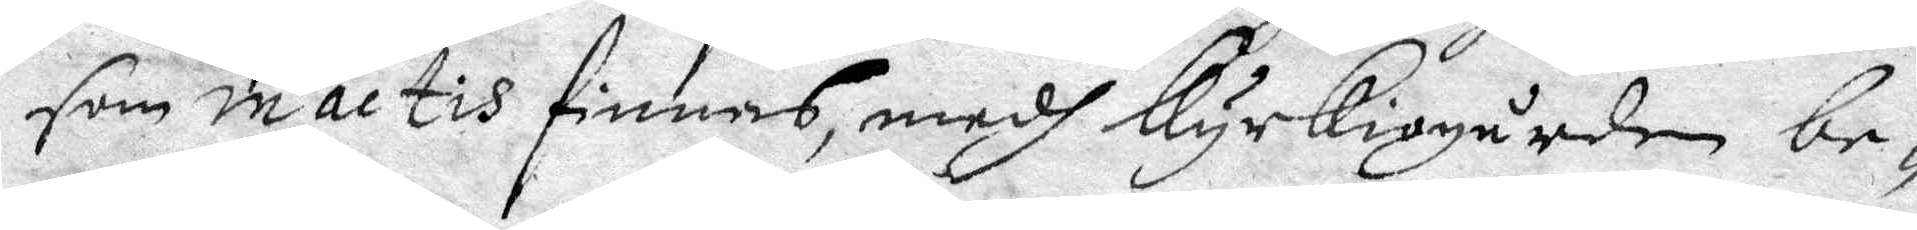som in actis finnes, medh kyrkiogården be¬
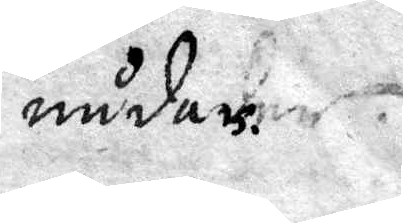nådar.
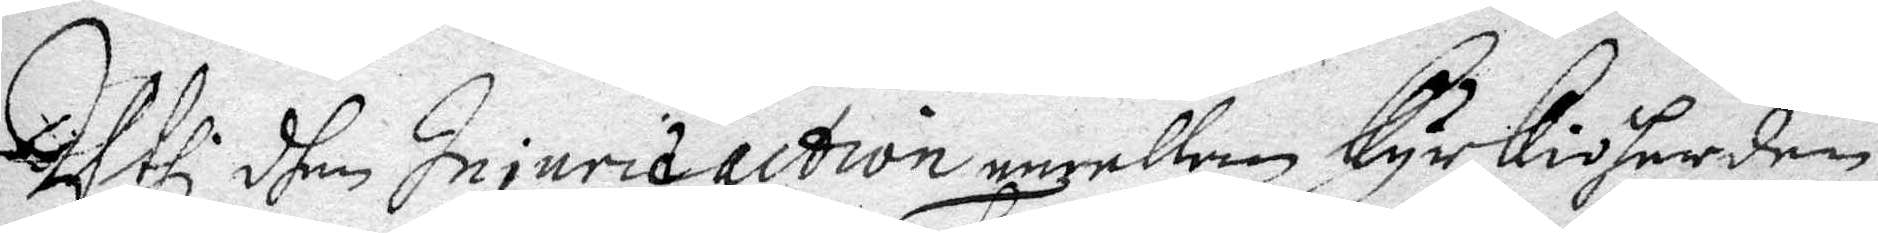Uthi dhen Injuria action emellan kyrkioherden
